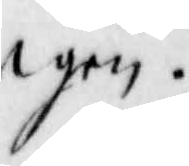igen.
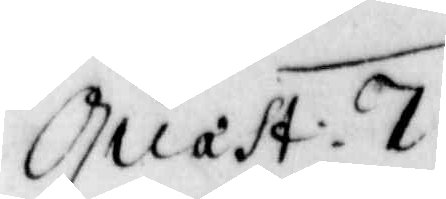Quast: 7
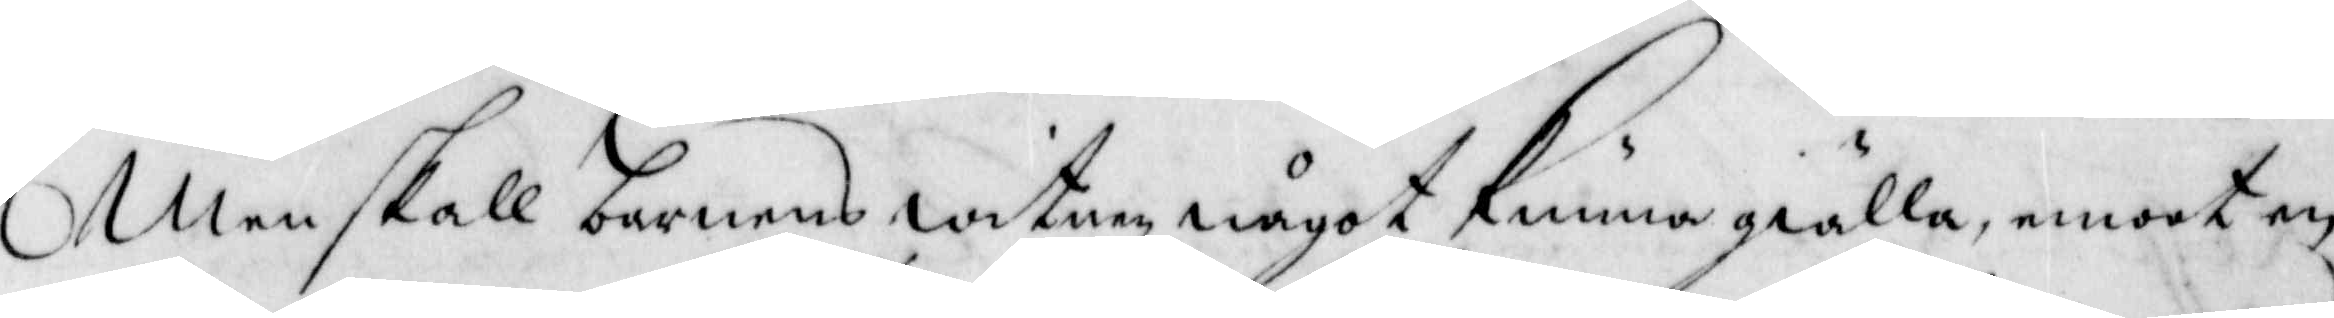Men skall barnens witnen något kunna giälla, emoot en
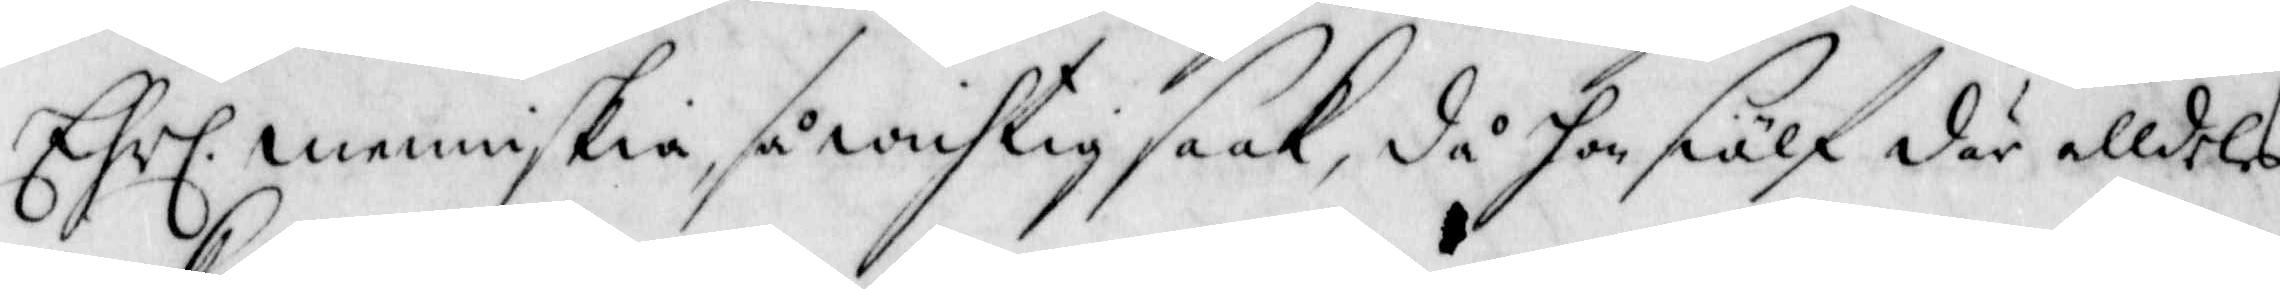Chrl: menniskia, så wichtig saak, då hon siälf där alldeles
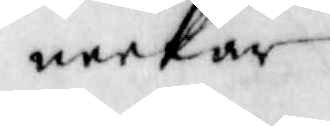neekar.
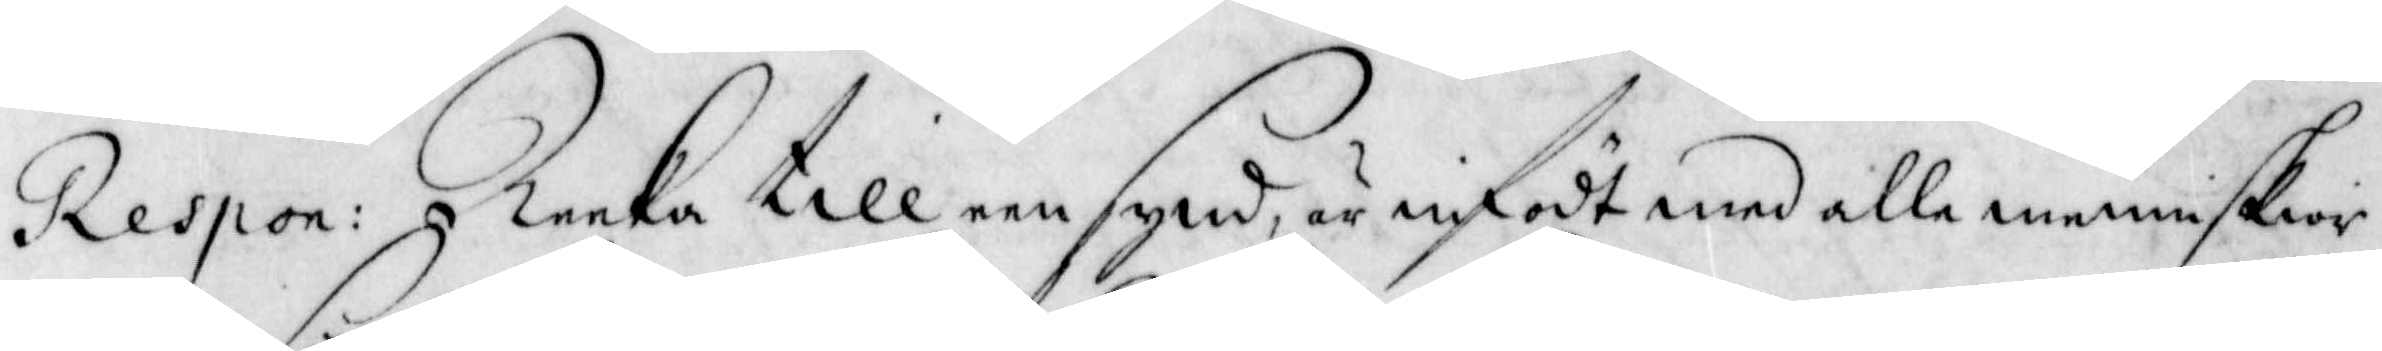Respon: Reeka till een synd, är infödt med alle menniskior
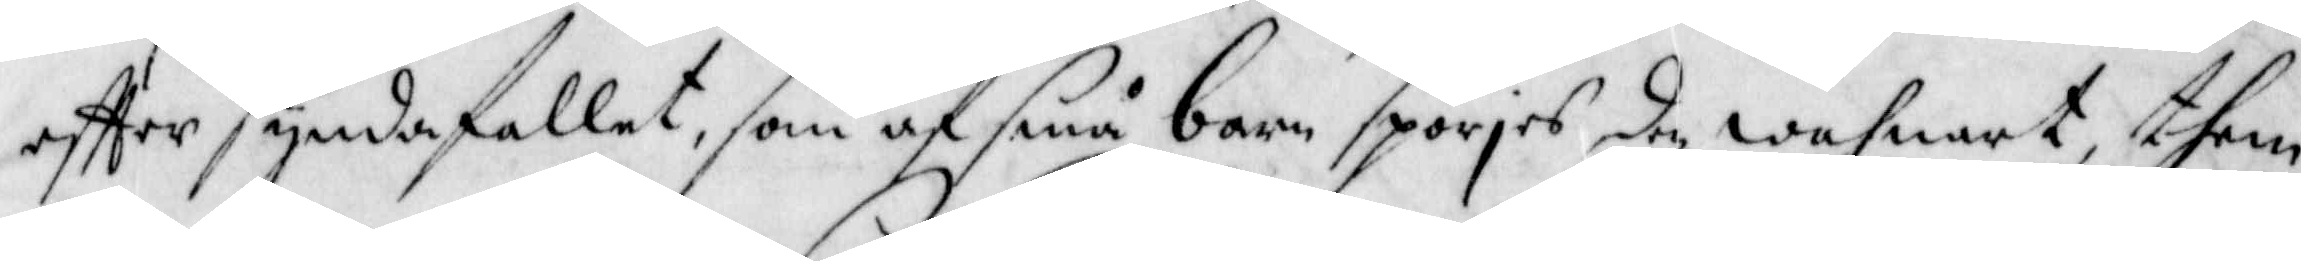effter syndafallet, som af små barn spörjes den wahnart them
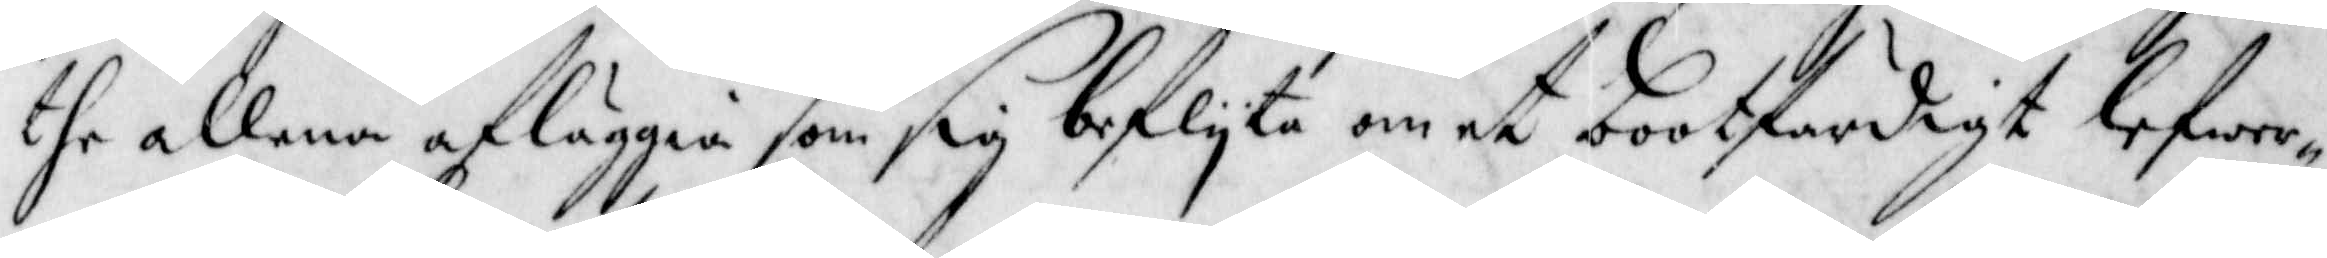the allena afläggia som sig beflyta om et bootfärdigt lefwer¬
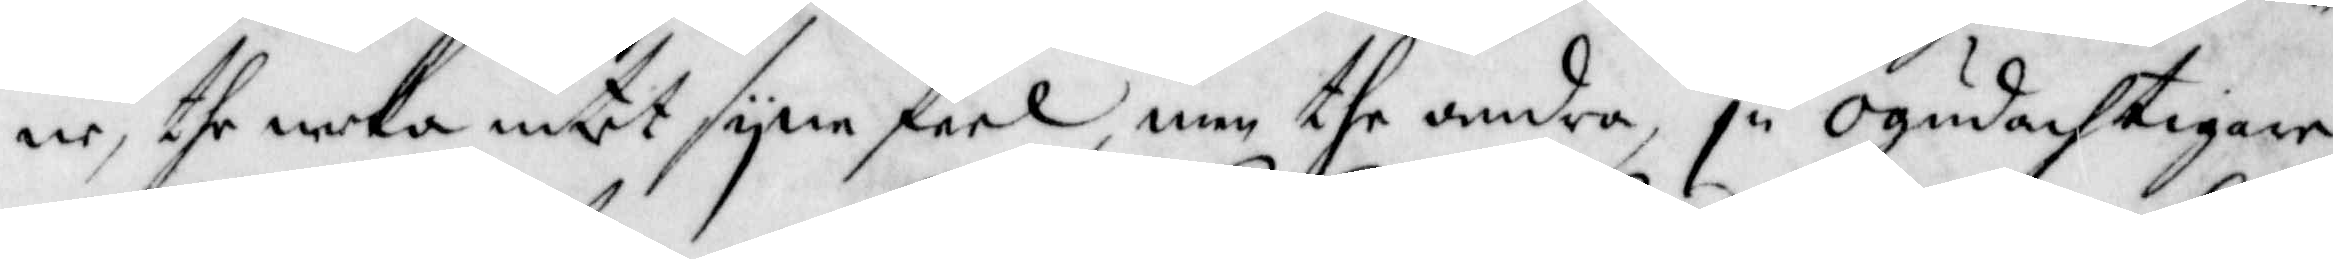ne, the neka intet syne feel, men the andra, ju ogudachtigare
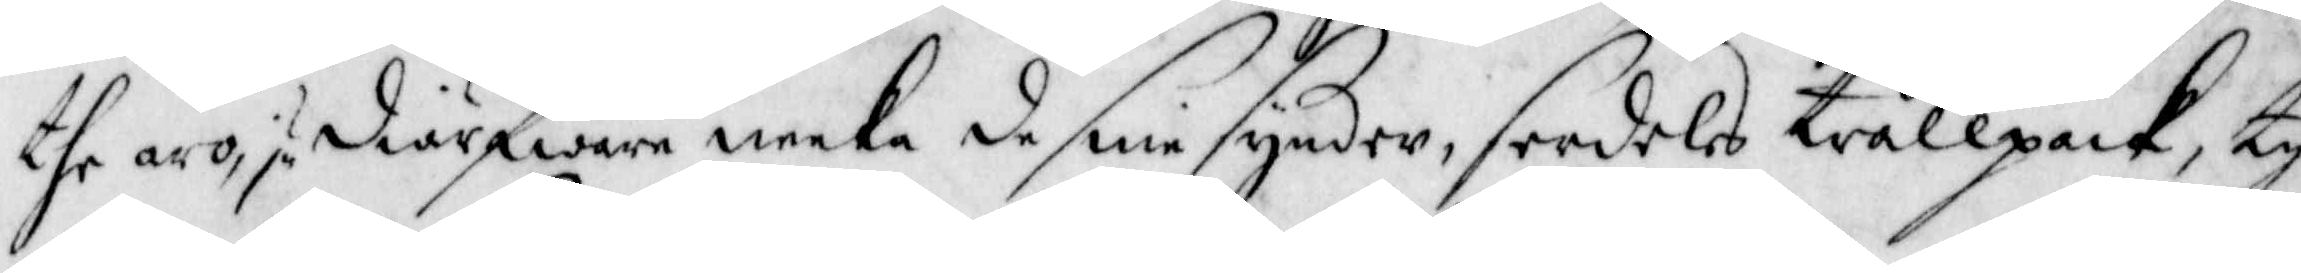the äro, ju diärfware neeka de sine synder, serdeles trållpack, ty
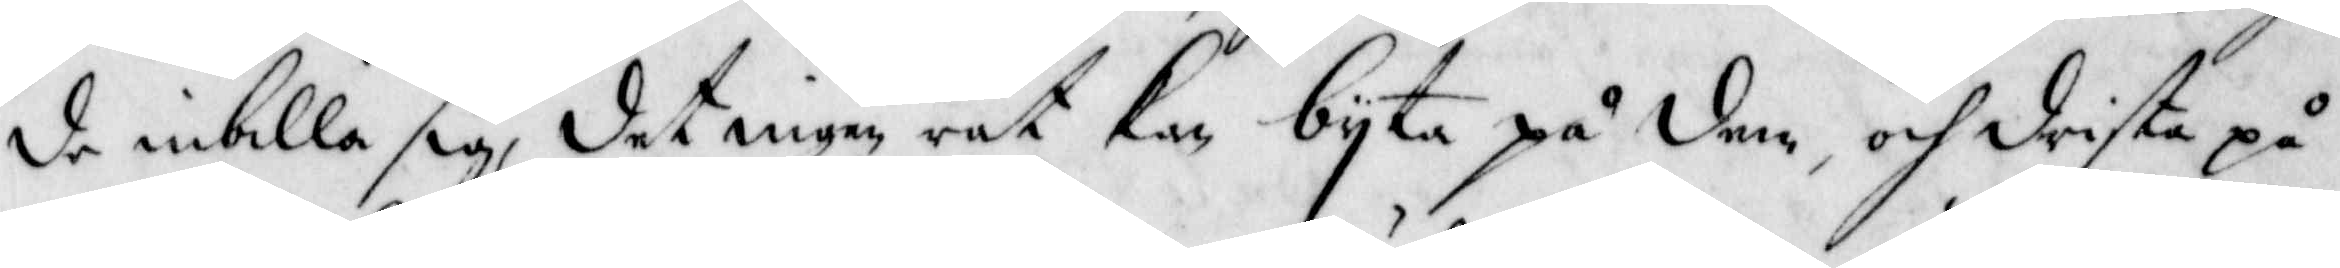de inbilla sig, det ingen rät kan byta på dem, och drista på
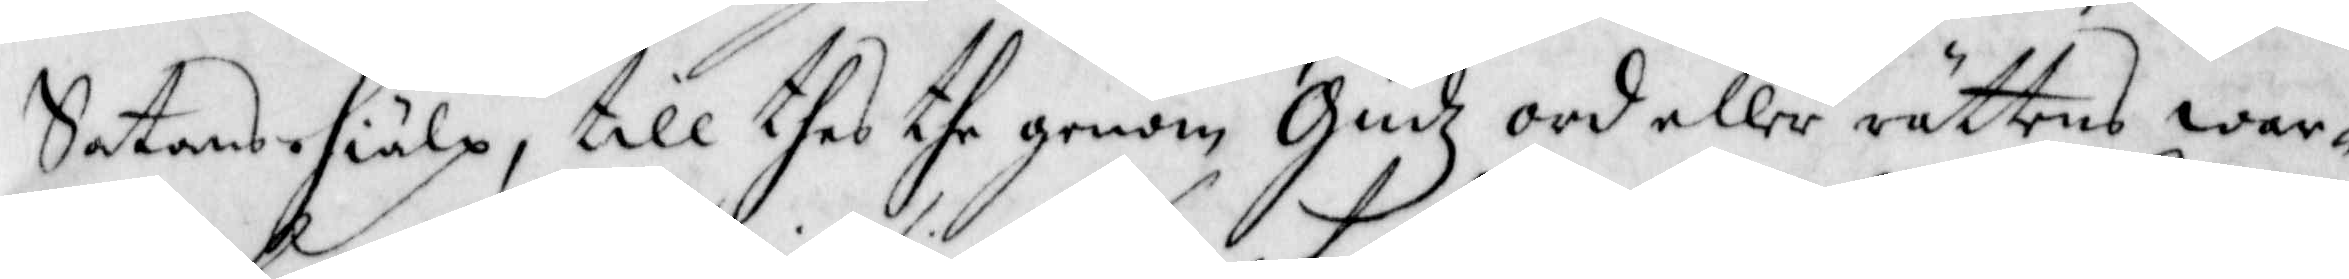Satans hiälp, till thes the genom Gudz ord eller rättens war¬
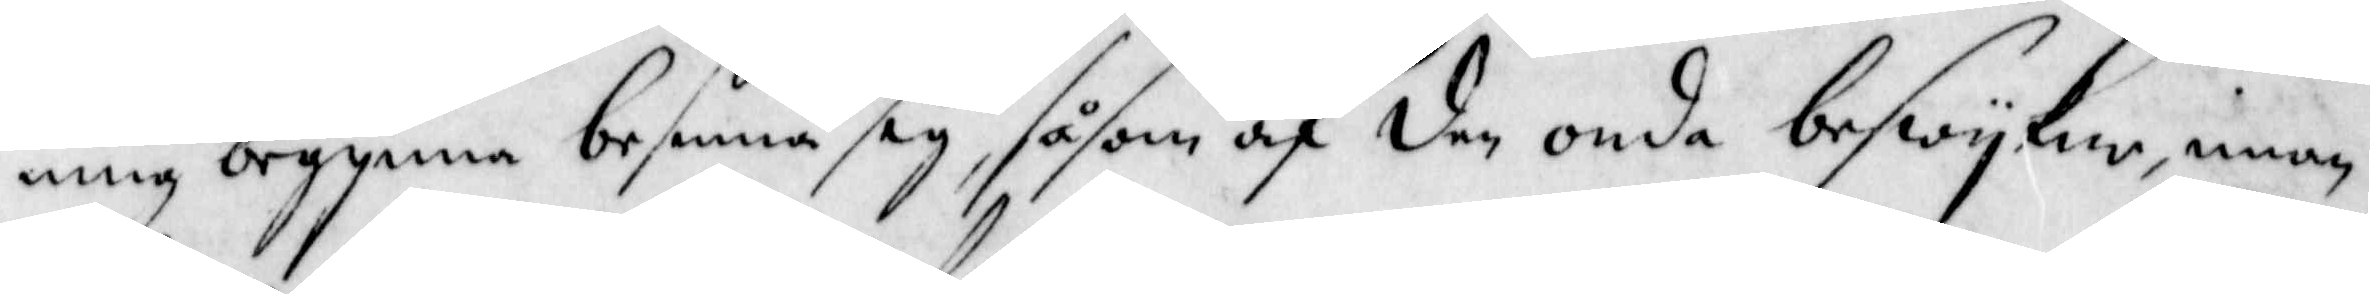ning begynna besinna sig, såsom af den onda beswykne, innan
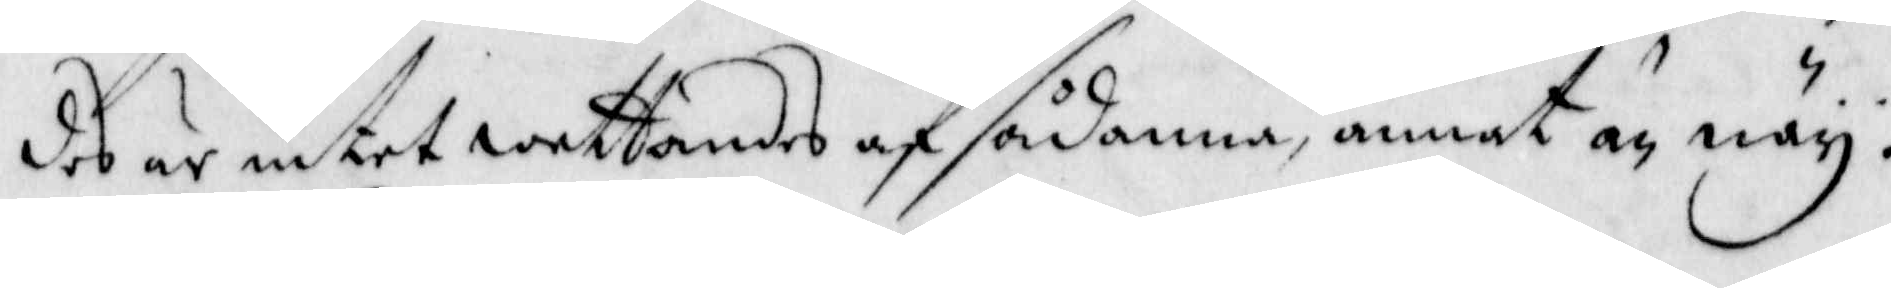des är intet wettandes af sådanna, annat än näy:
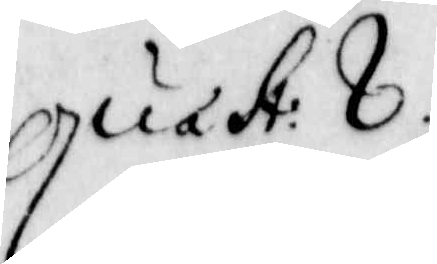Quast: 8.
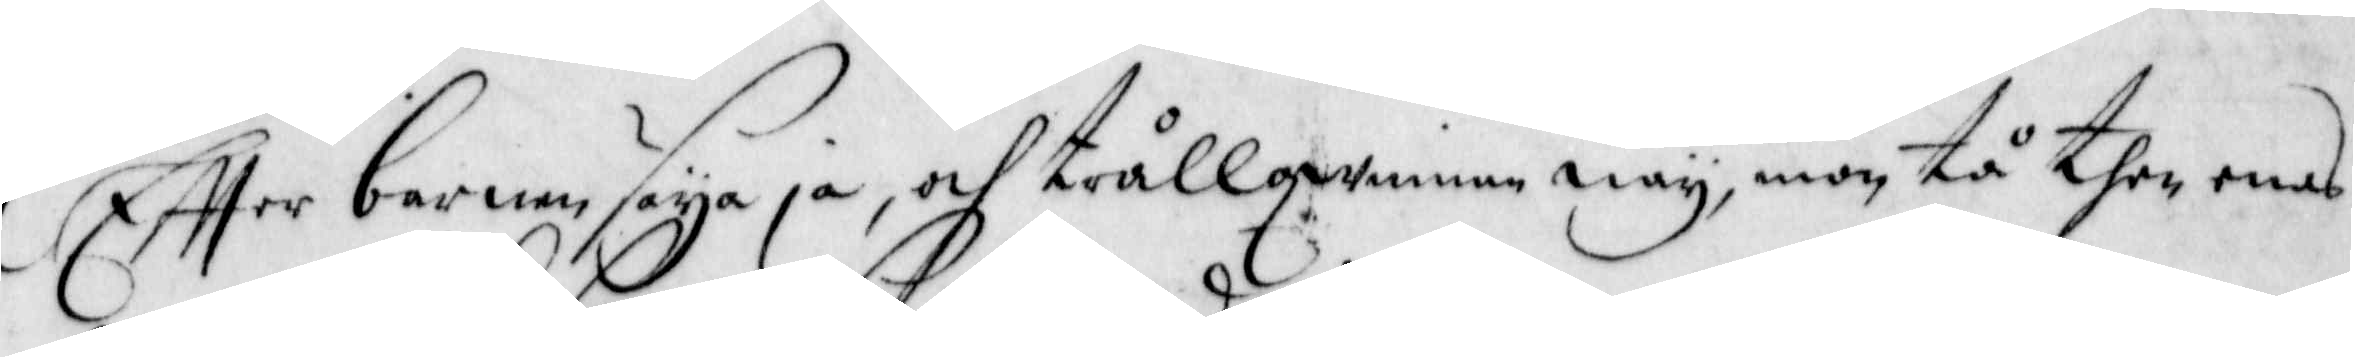Effter barnen saya ja, och trållqwinnan näy, mon tå then enes
